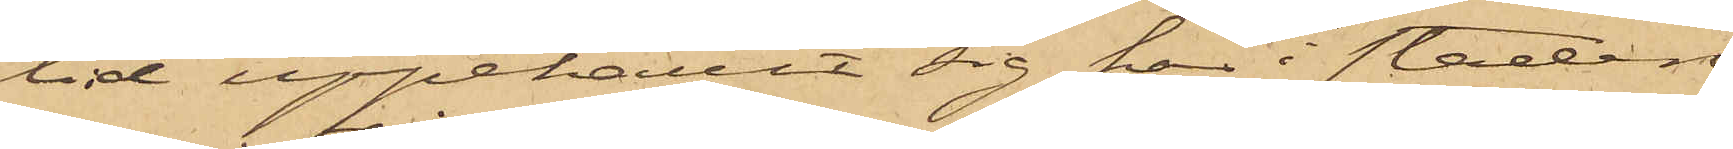tid uppehållit sig här i staden
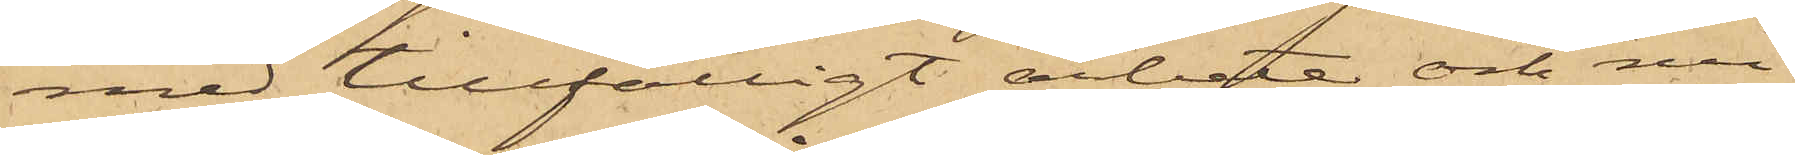med tillfälligt arbete och nu
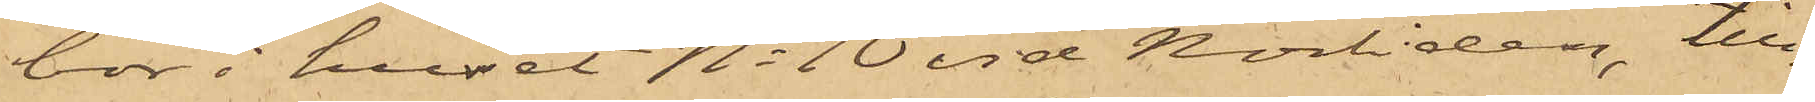bor i huset No 10 vid Norliden, till¬
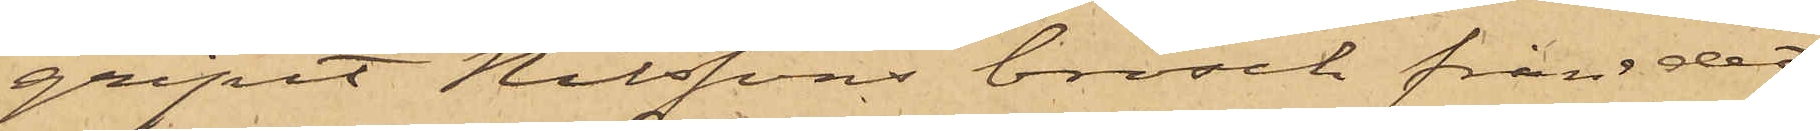gripit Nilssons brosch från det
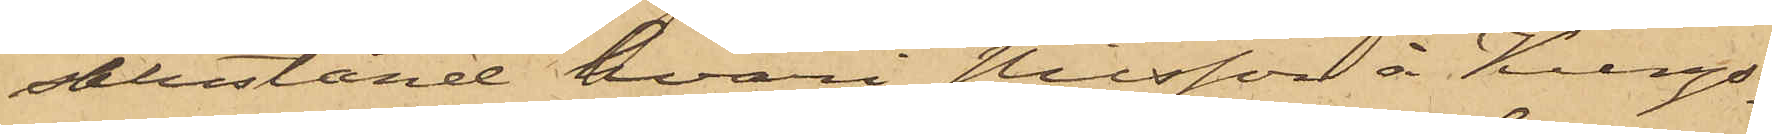salustånd, hvari Nilsson å Kungs¬
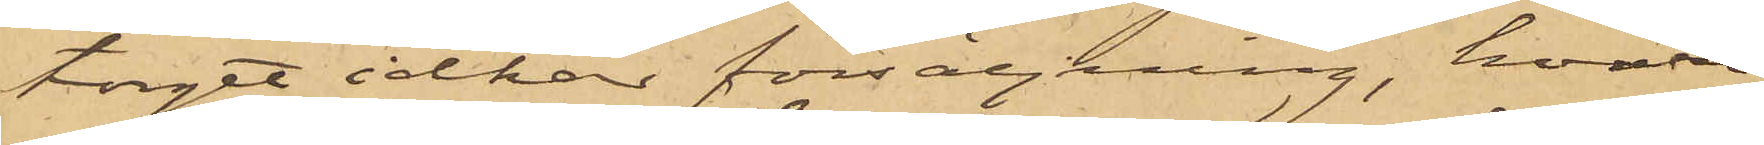torget idkar försäljning, hvare¬
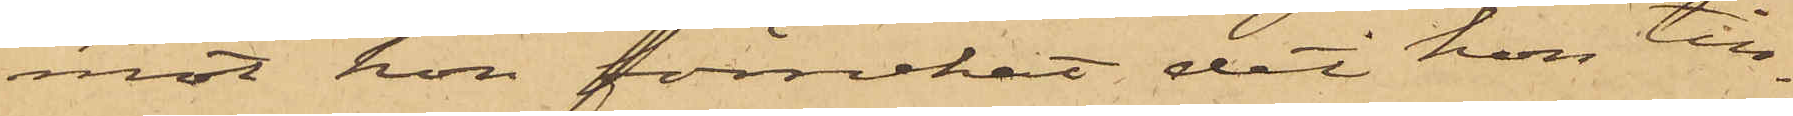mot hon förnekat det hon till¬
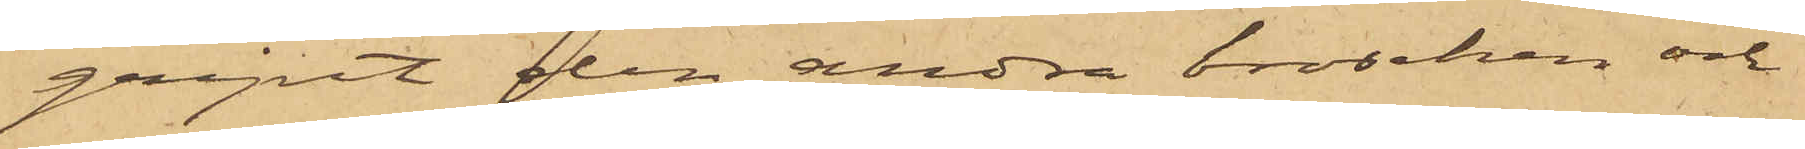gripit den andra broschen och
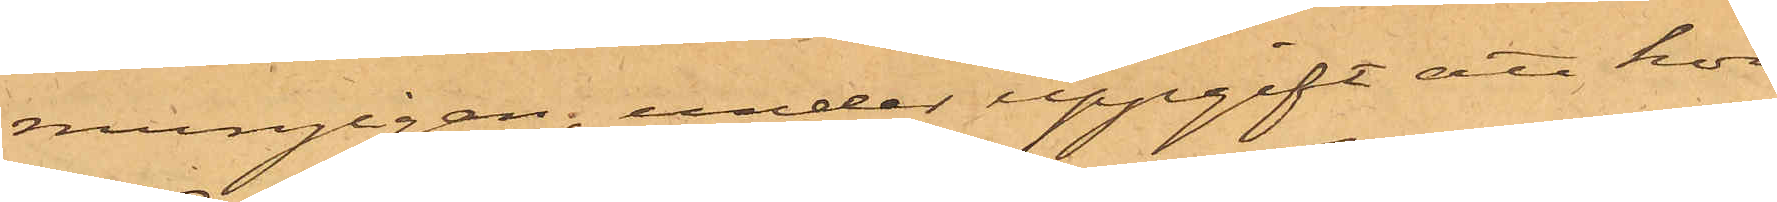mungigan, under uppgift att hon
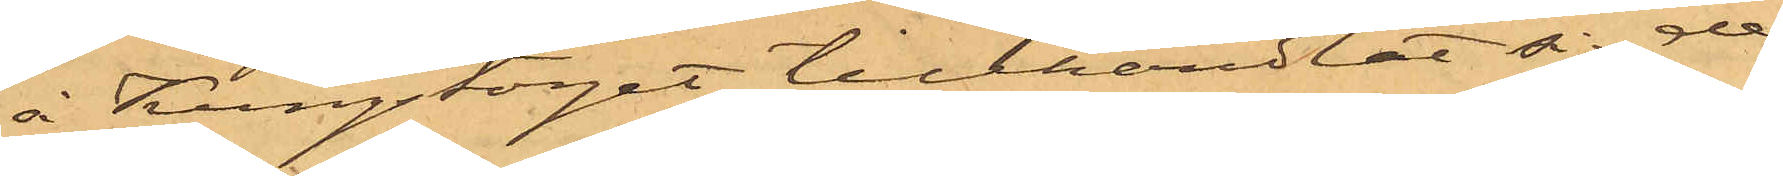å Kungstorget tillhandlat å de¬
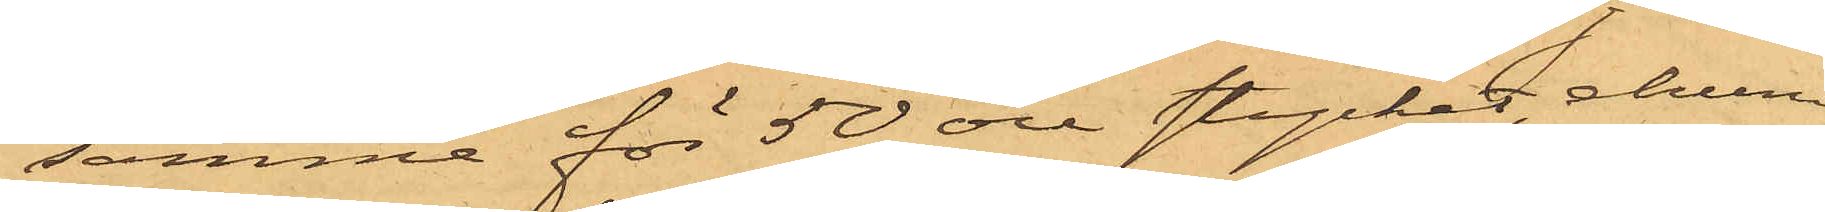samma för 50 öre stycket, ehuru
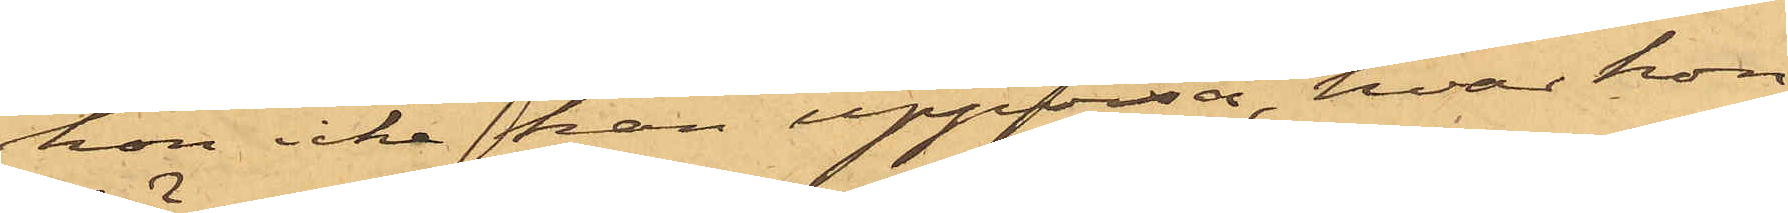hon icke han uppvisa, hvar hon
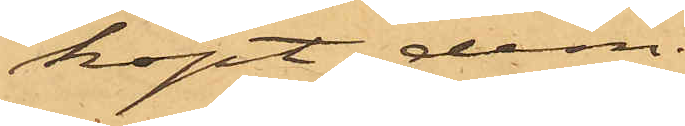köpt dem.
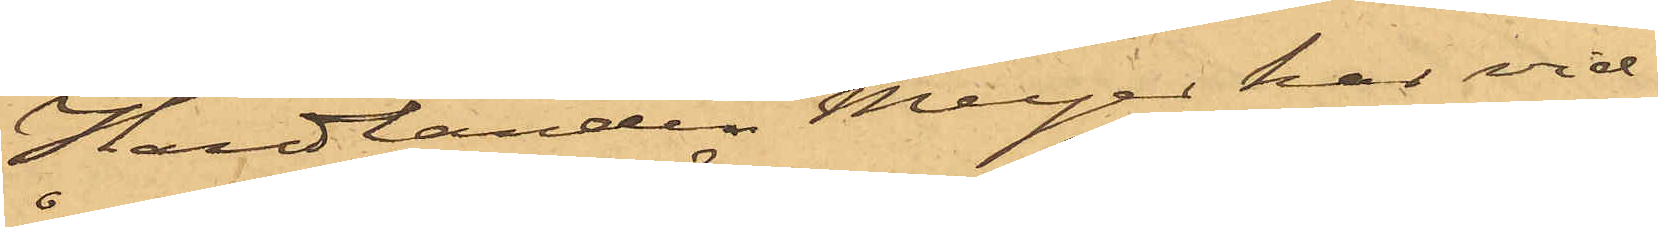Handlanden Meyer har vid¬
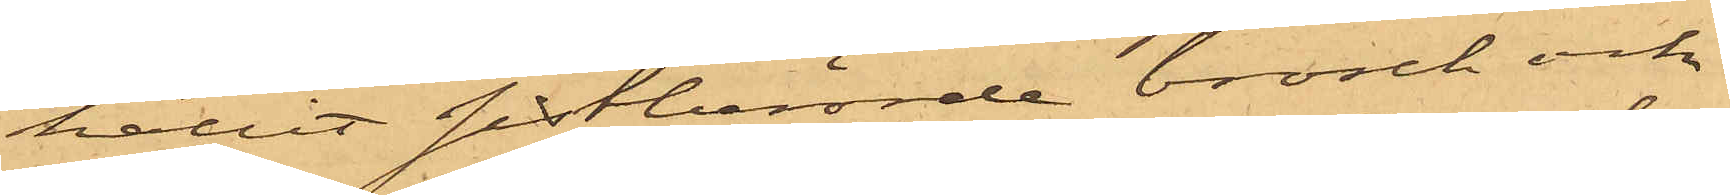hållit sistberörde brosch och
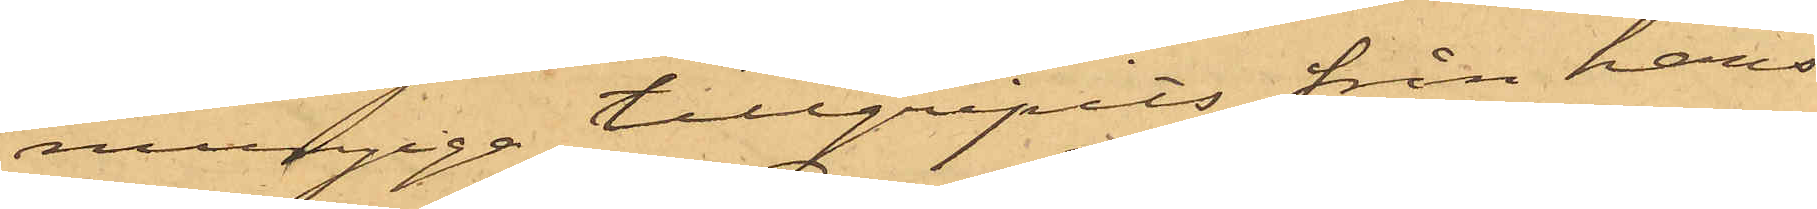mungiga tillgripits från hans
